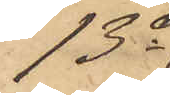13o
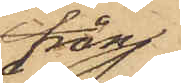från
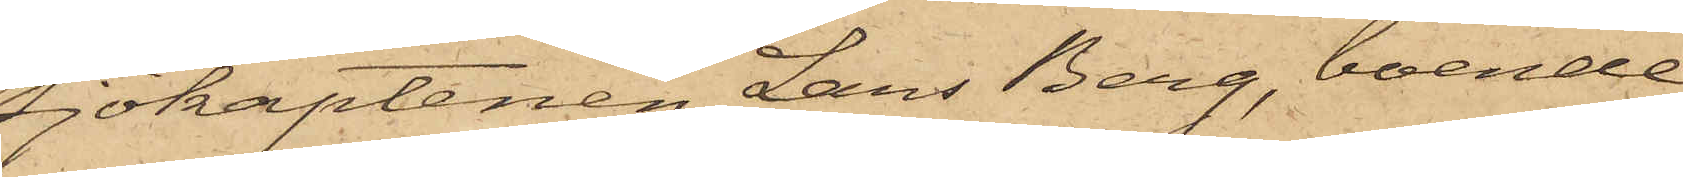Sjökaptenen Lars Berg, boende
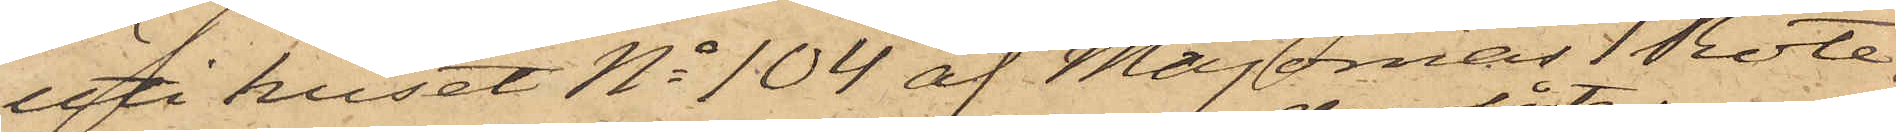uti huset No 104 af Majornas 1 Rote,
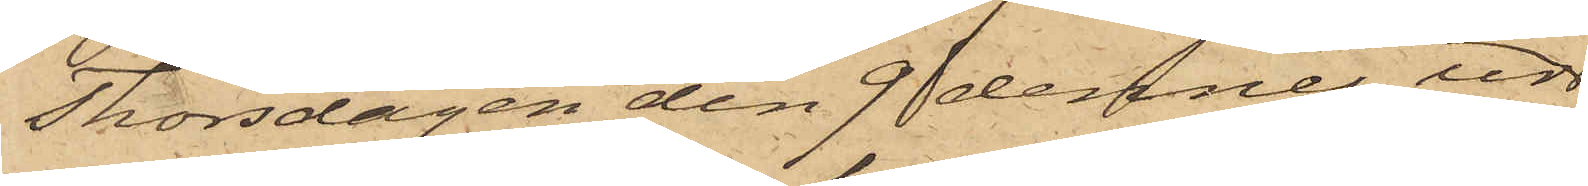Thorsdagen den 9 dennes ur
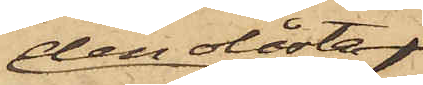den olåsta
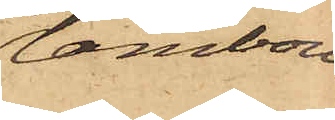tambou¬
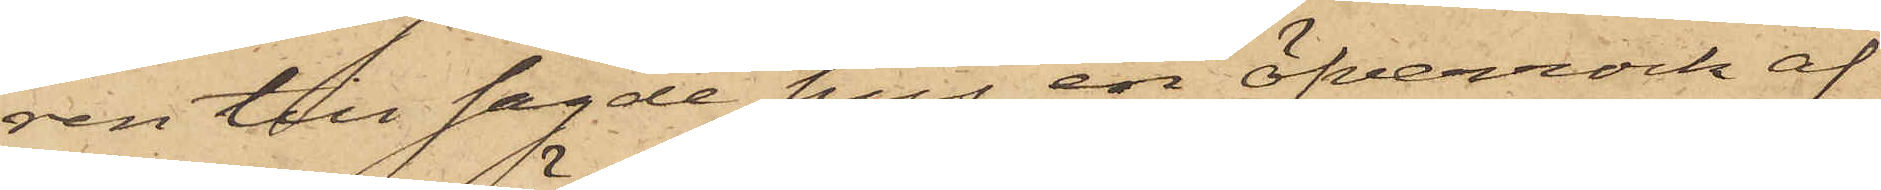ren till sagde hus en öfverrock af
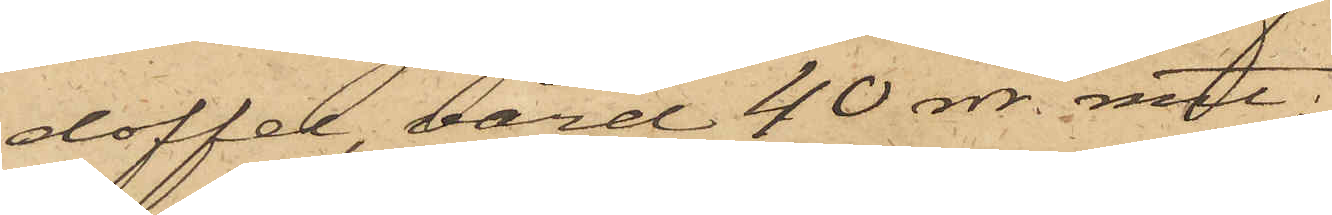doffel, värd 40 rdr. rmt;
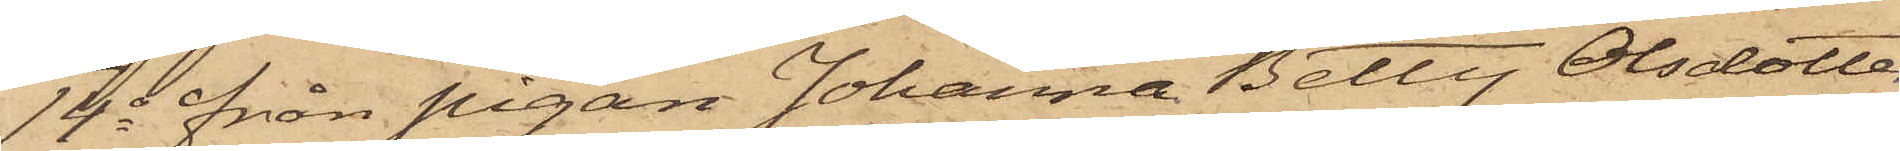14o från Pigan Johanna Better Olsdotter
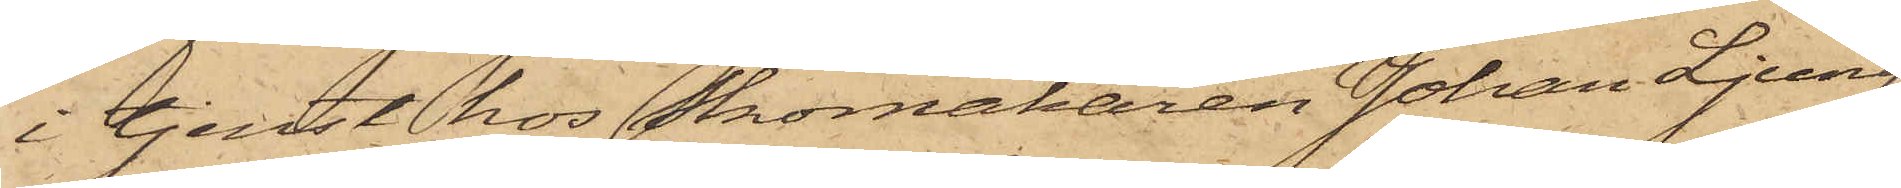i tjenst hos Skomakaren Johan Ljung¬
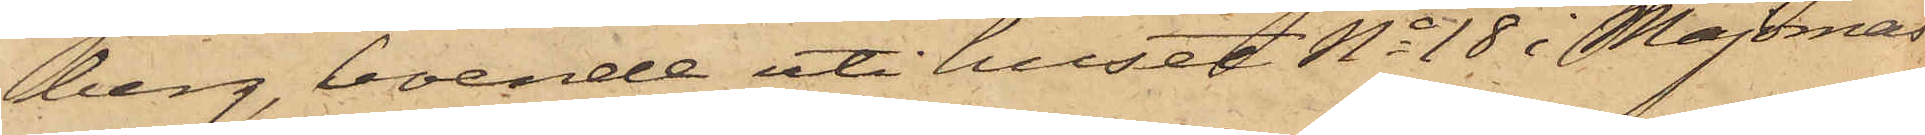berg, boende uti huset No 18 i Majornas
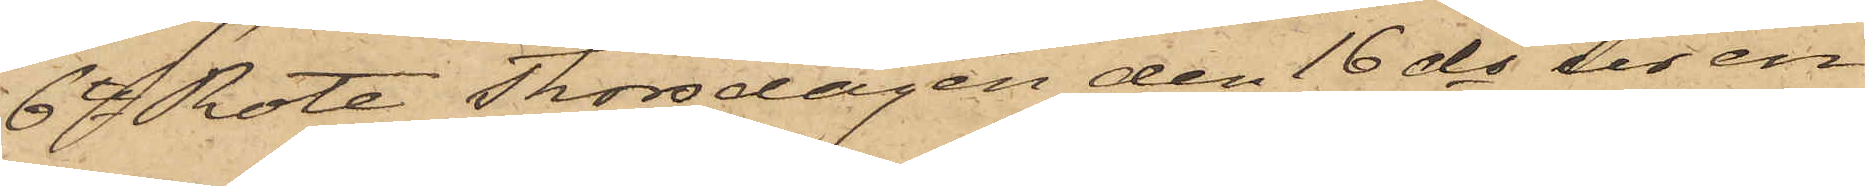6te Rote Thorsdagen den 16 ds ur en
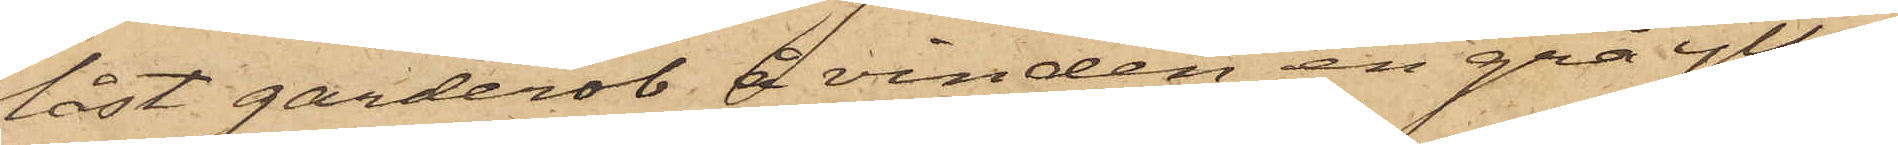låst garderob å vinden en grå ylle¬
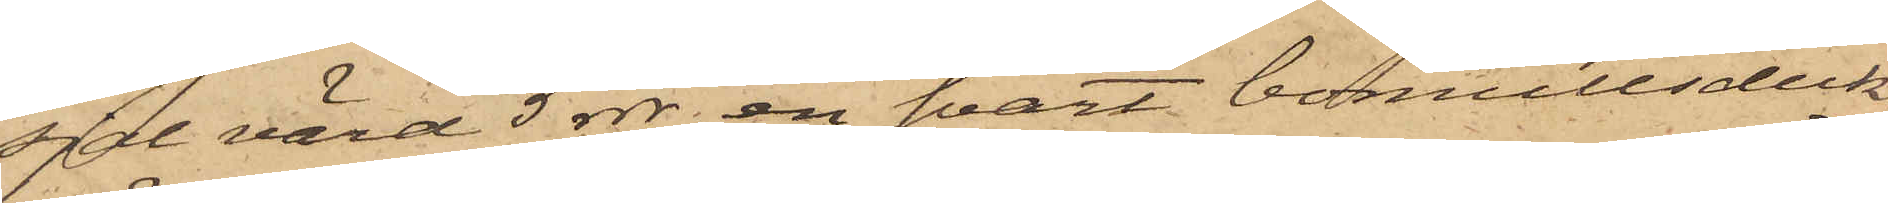sjal värd 5 rdr, en svart bomullsduk,
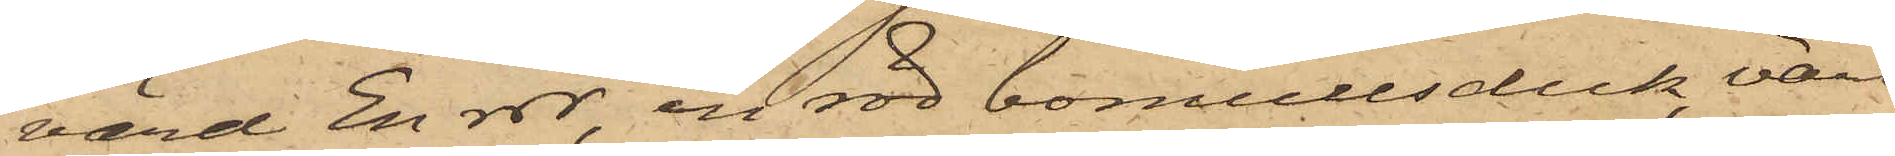värd En rdr, en röd bomullsduk, värd
